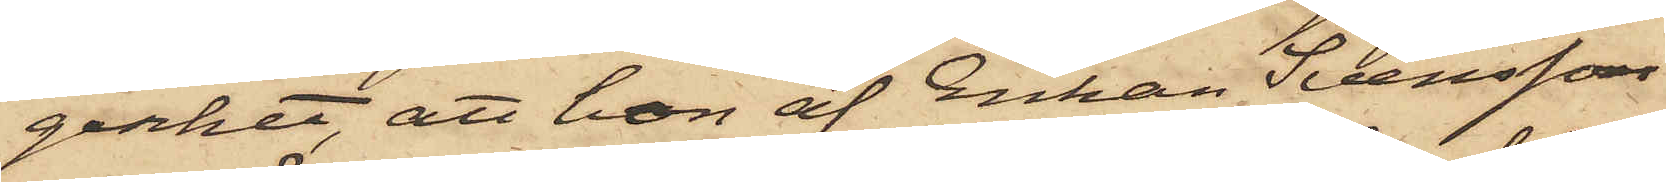genhet, att hon af Enkan Svensson
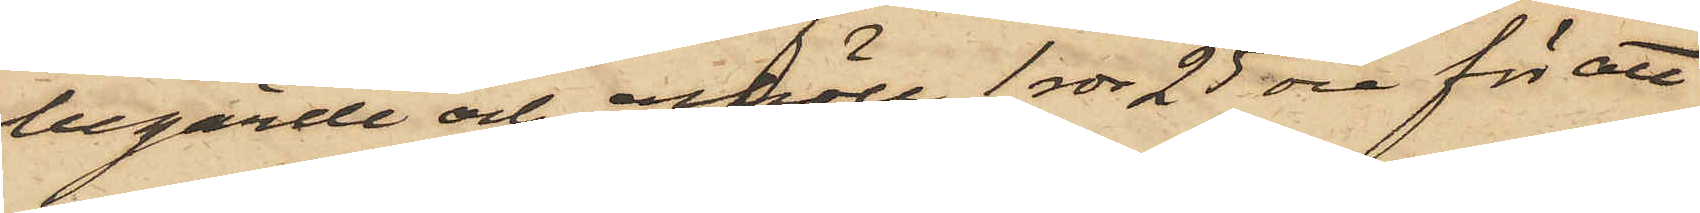begärde och erhöll 1 rdr 25 öre för att
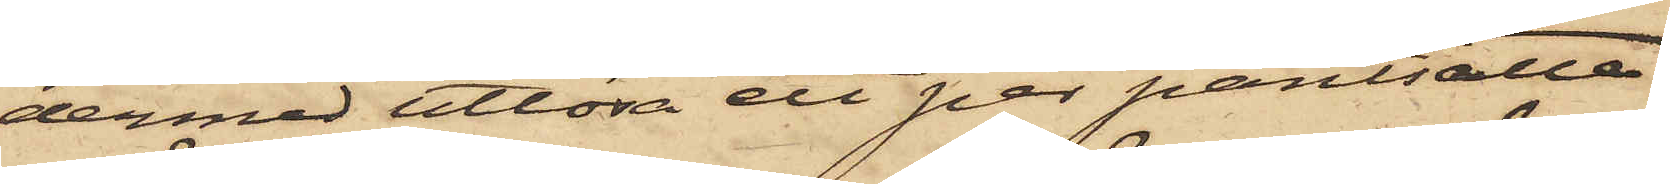dermed utlösa ett par pantsatte
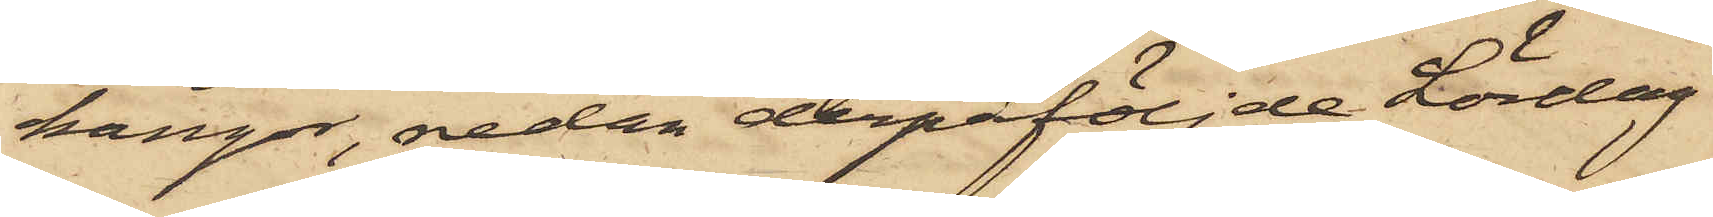kängor, redan derpåföljde Lördag
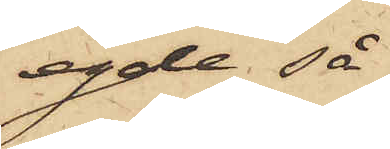egde så
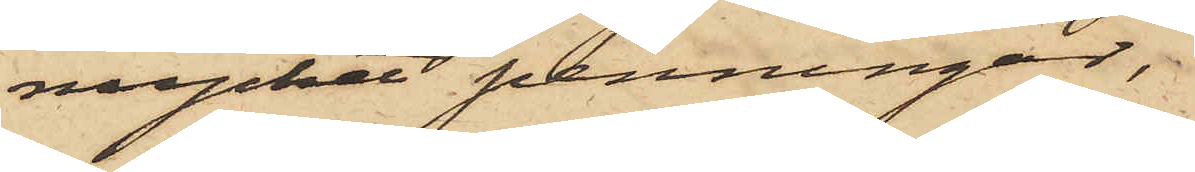mycket penningar,
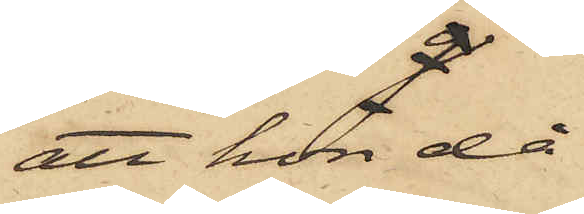att hon då
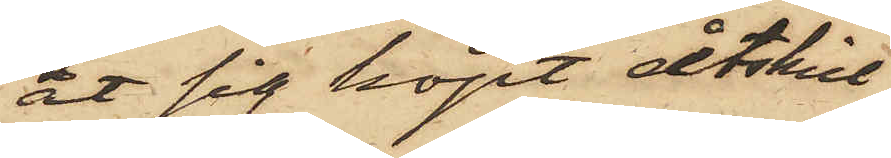åt sig köpt åtskill¬
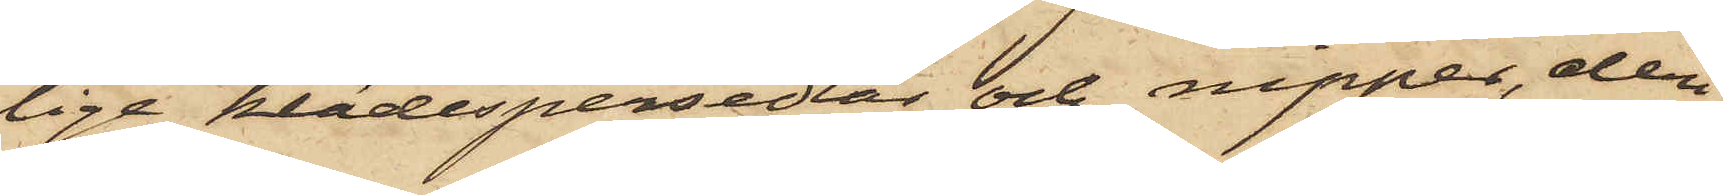lige klädespersedlar och nipper, deri¬
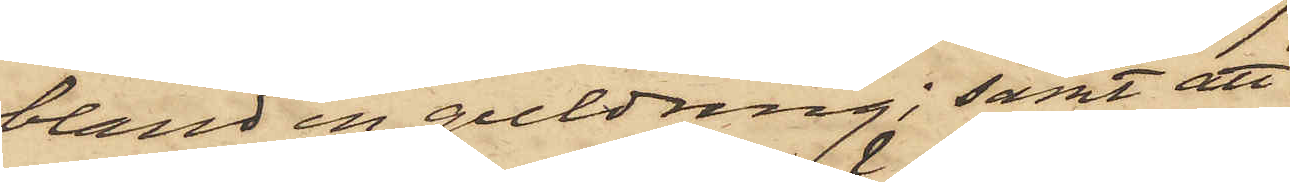bland en guldring; samt att
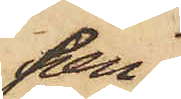pen¬
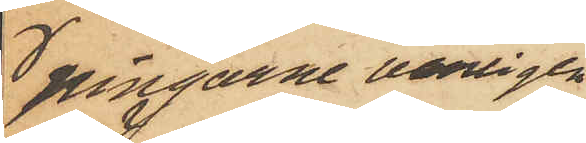ningarne vanligen
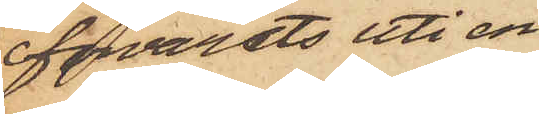förvarats uti en
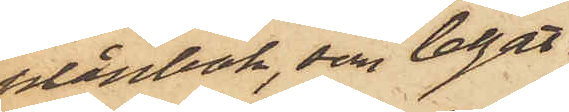plånbok, som legat
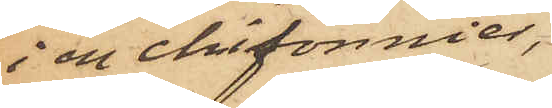i en chifonnier,
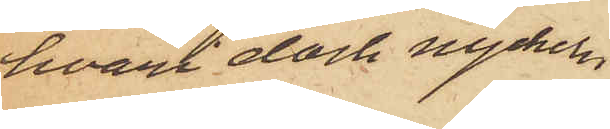hvari dock nyckeln
